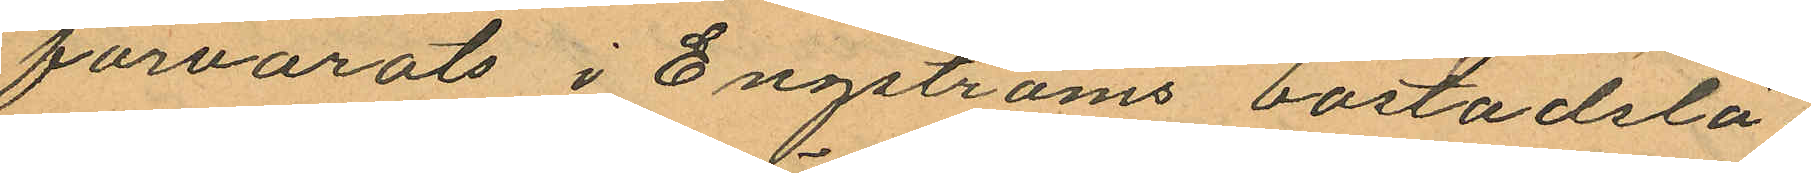förvarats i Engströms bostadslä¬
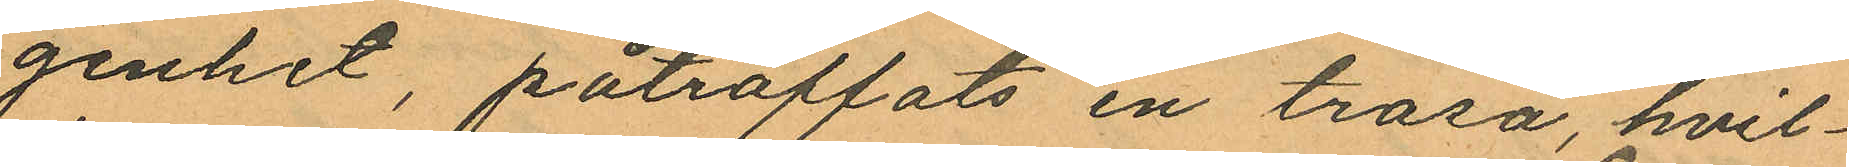genhet, påträffats en trasa, hvil¬
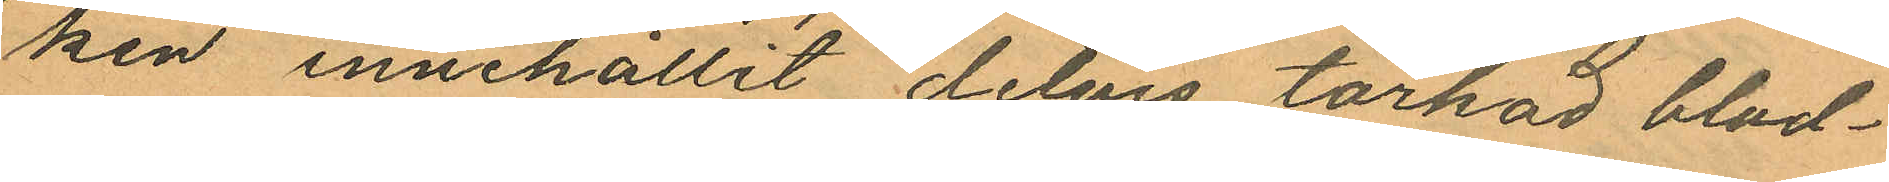ken innehållit delvis torkad blod¬
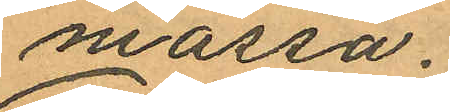massa.
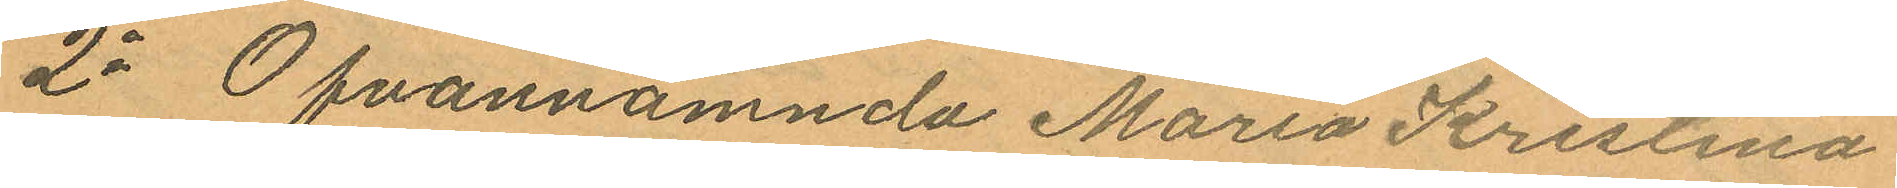2o Ofvannämnda Maria Kristina
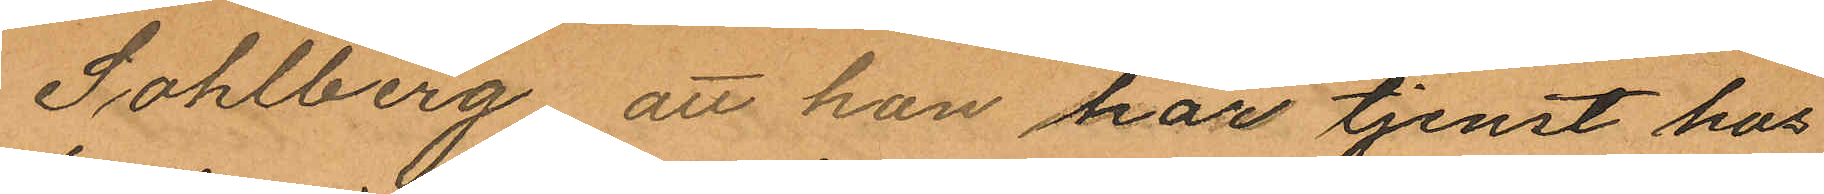Sohlberg, att hon har tjenst hos
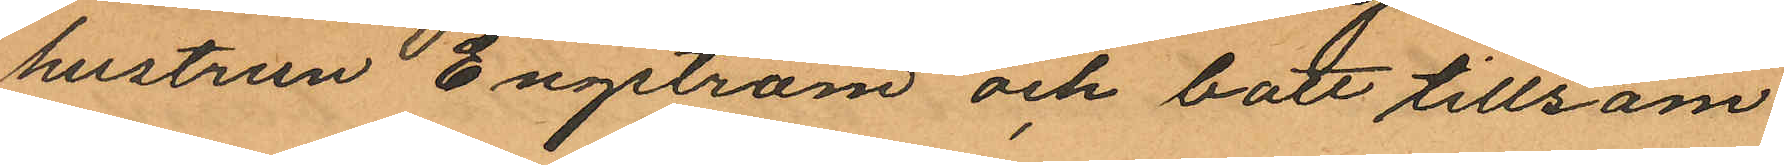hustrun Engström och bott tillsam
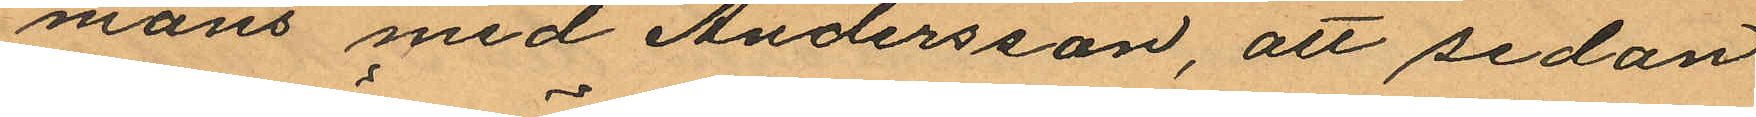mans med Andersson, att sedan
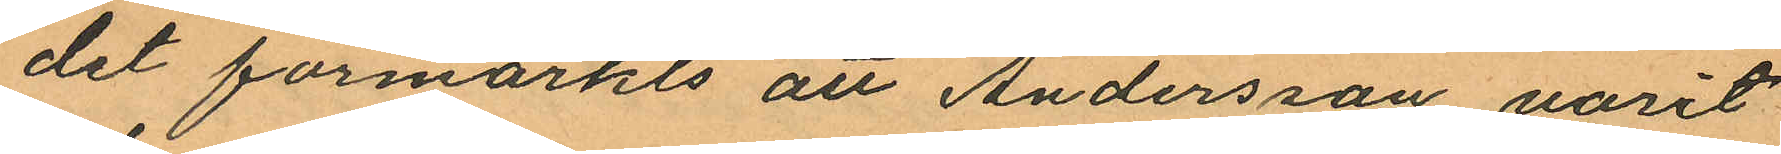det förmärkts att Andersson varit
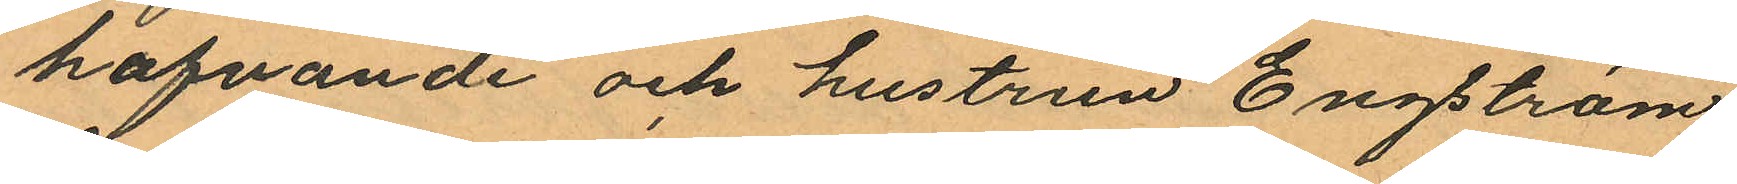hafvande och hustrun Engström
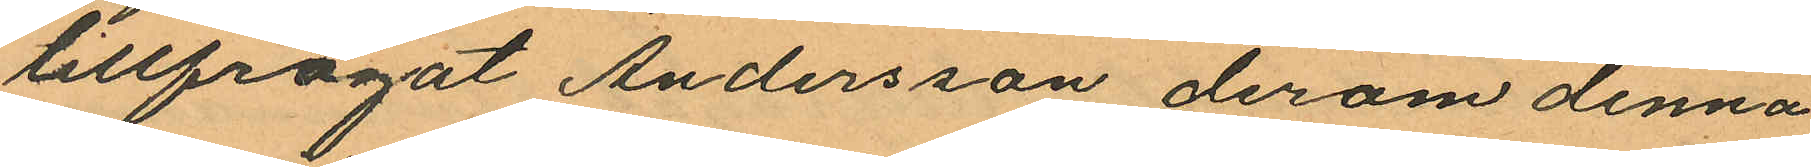tillfrågat Andersson derom denna
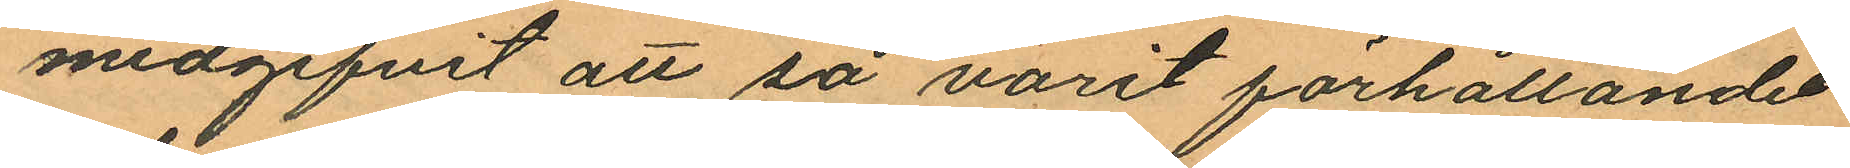medgifvit att så varit förhållandet
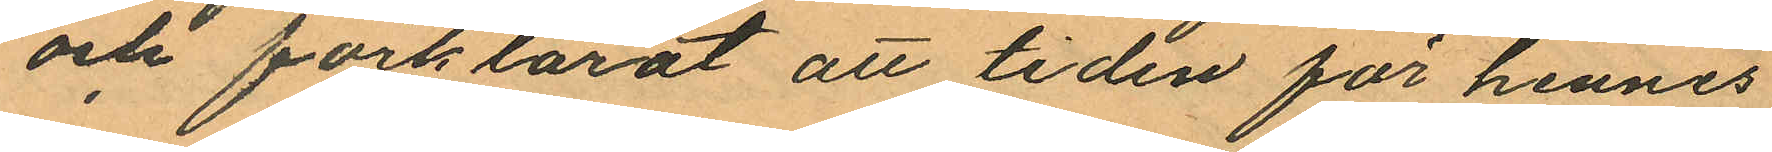och förklarat att tiden för hennes
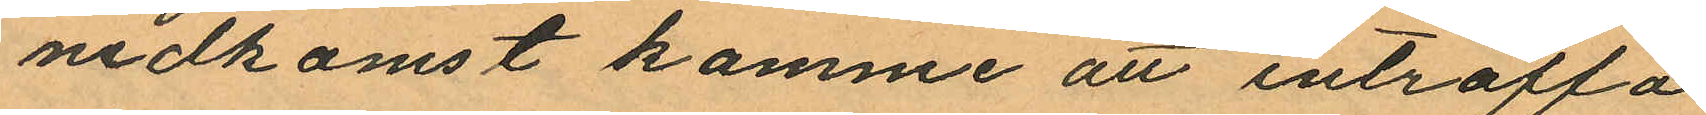nedkomst komme att inträffa
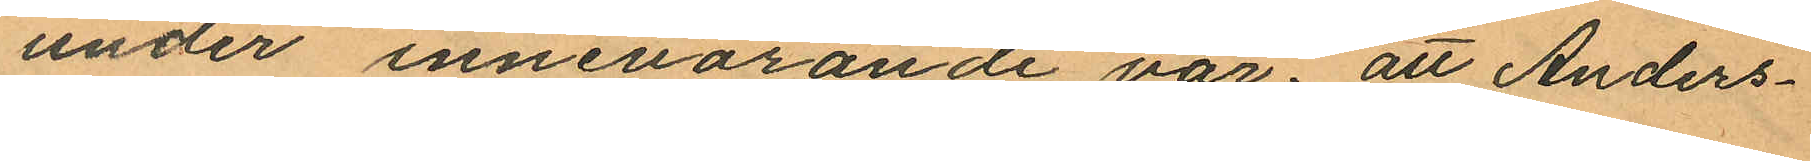under innevarande vår, att Anders¬
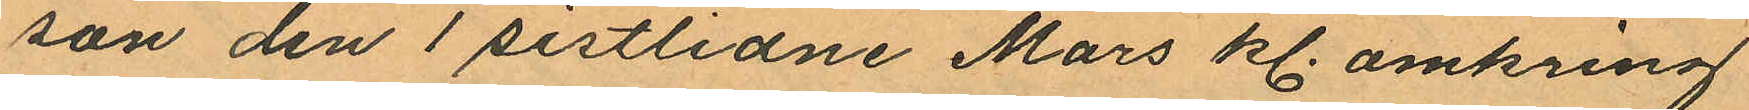son den 1 sistlidne Mars kl. omkring
